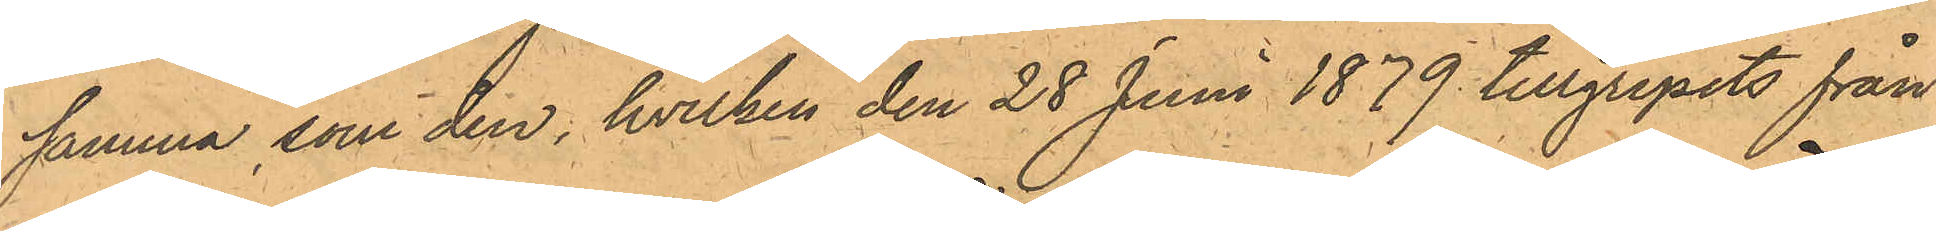samma som den, hvilken den 28 Juni 1879 tillgripits från
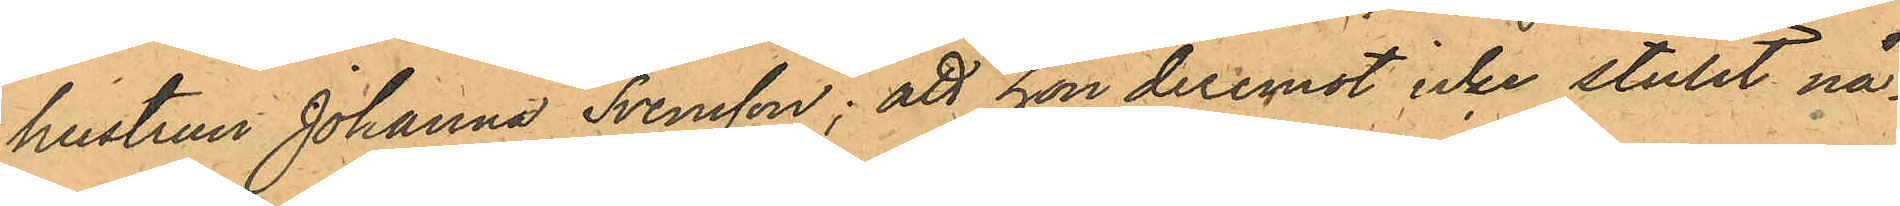hustrun Johanna Svensson; att hon deremot icke stulit nå¬
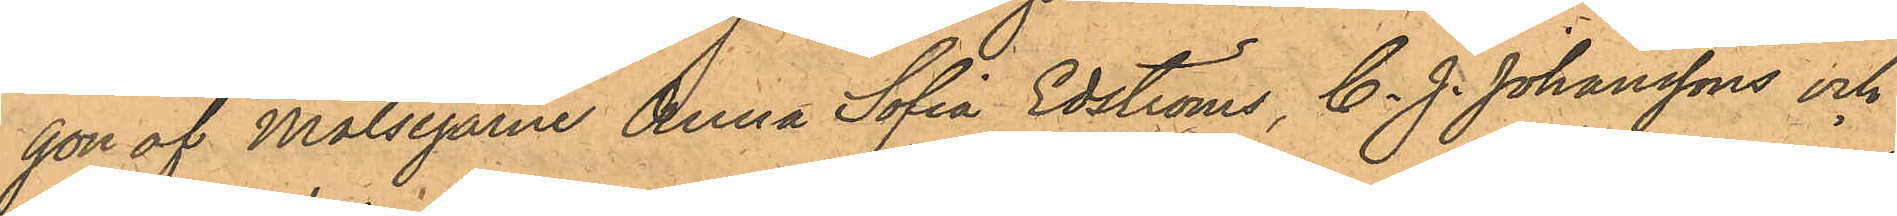gon af Målsegarne Anna Sofia Edströms, C. J. Johanssons och
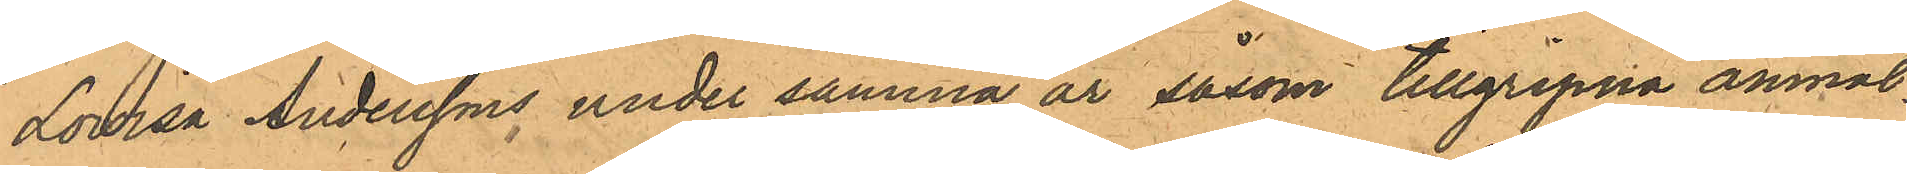Lovisa Anderssons under samma år såsom tillgripna anmäl¬
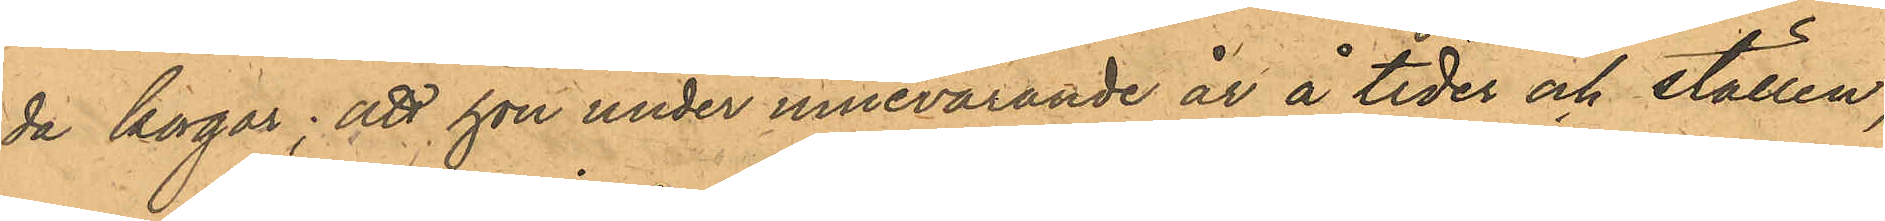da korgar; att hon under innevarande år å tider och ställen,
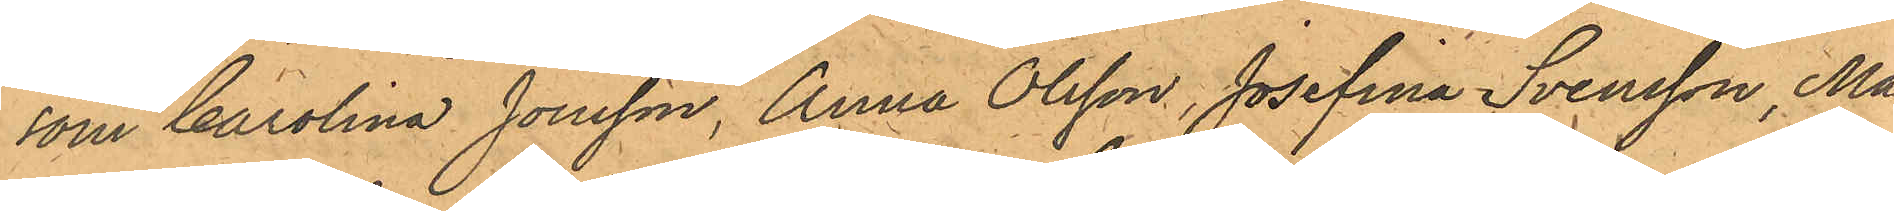som Carolina Jonsson, Anna Olsson, Josefina Svensson, Ma¬
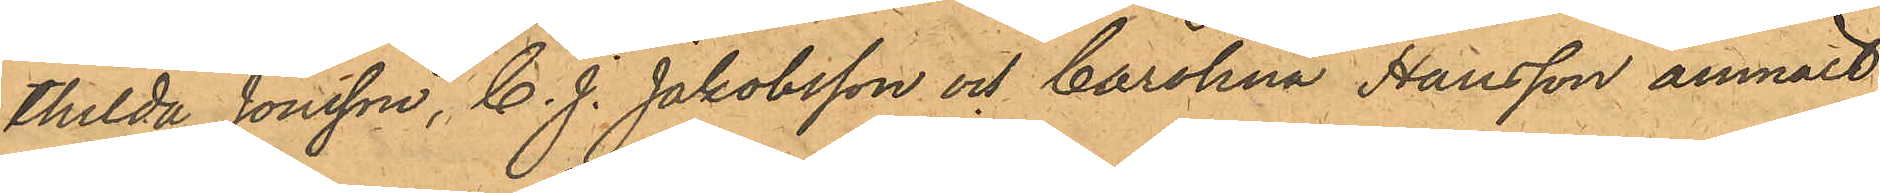thilda Jonsson, C. J. Jakobsson och Carolina Hansson anmält
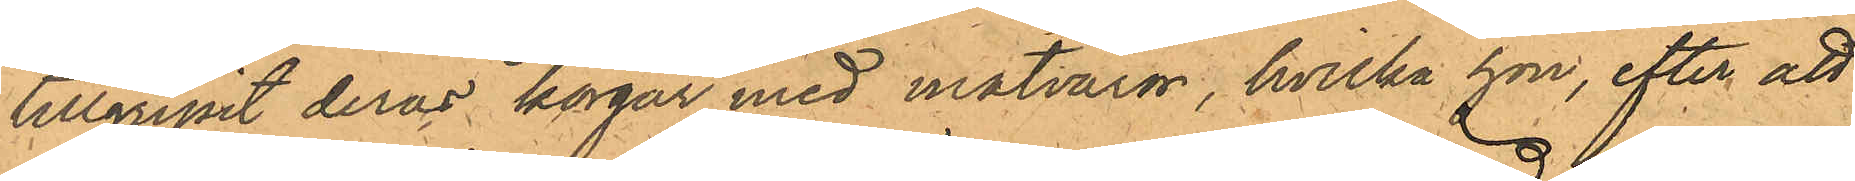tillgripit deras korgar med matvaror, hvilka hon, efter att
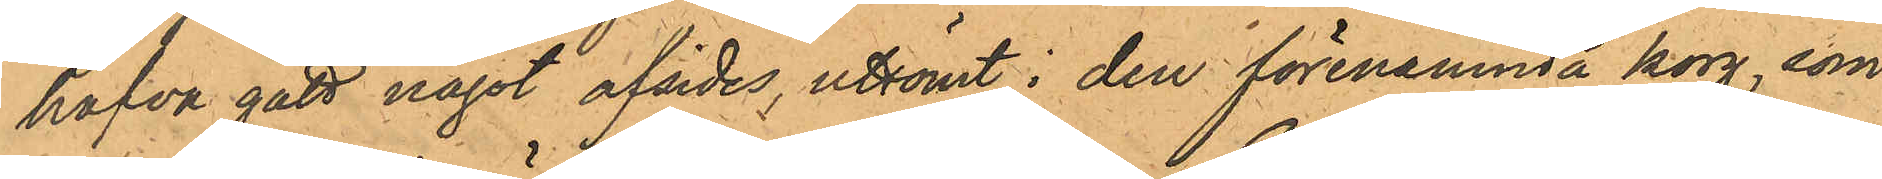hafva gått något afsides, utsömt i den förenämnda korg, som
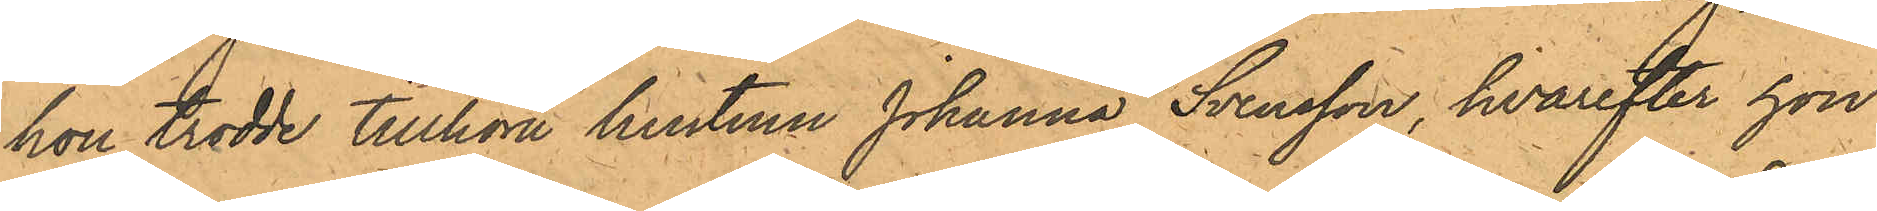hon trodde tillhöra hustrun Johanna Svensson, hvarefter hon
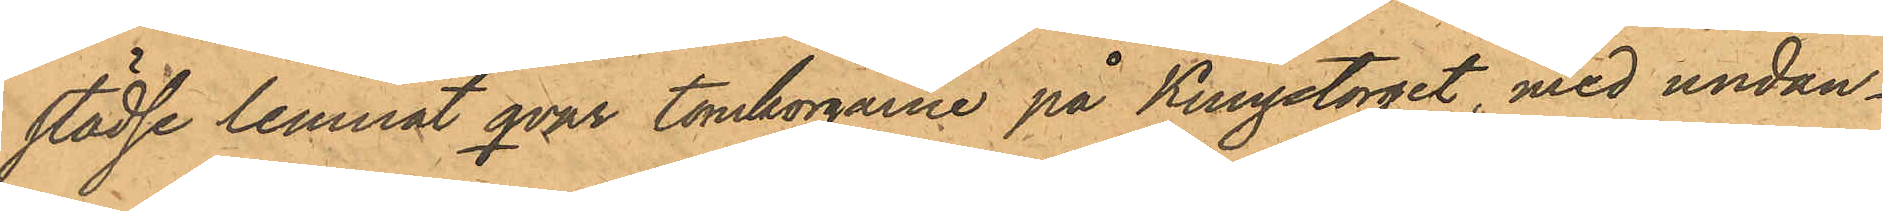städse lemnat qvar tomkorgarne på Kungstorget, med undan¬
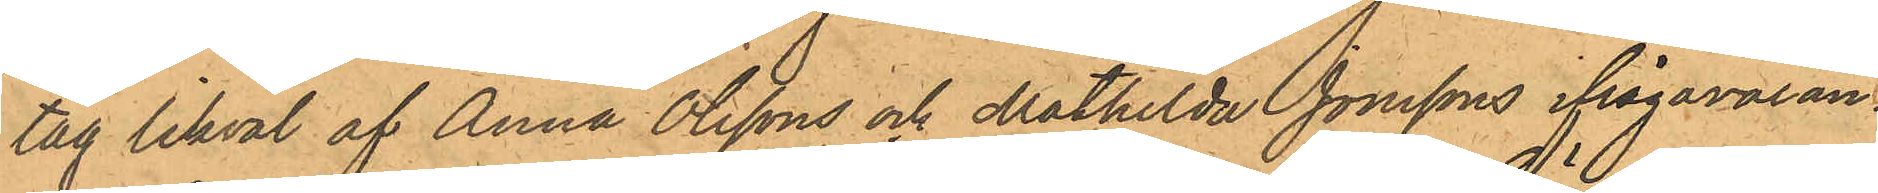tag likväl af Anna Olssons och Mathilda Jonssons ifrågavaran¬
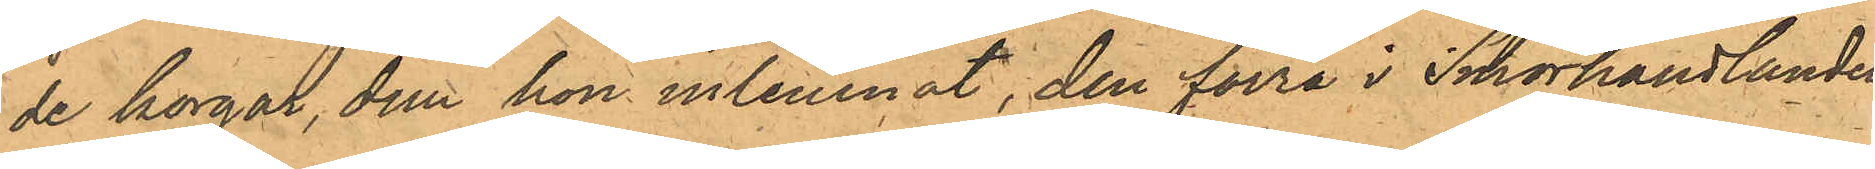de korgar, dem hon inlemnat, den förra i Smörhandlanden
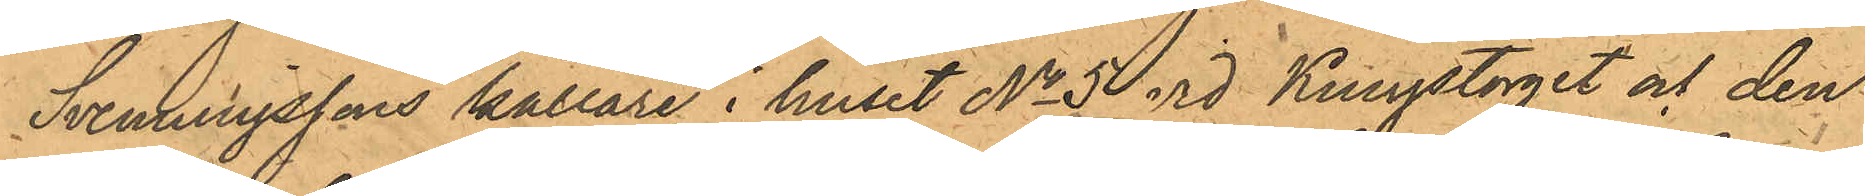Svenningssons källare i huset No 5 vid Kungstorget och den
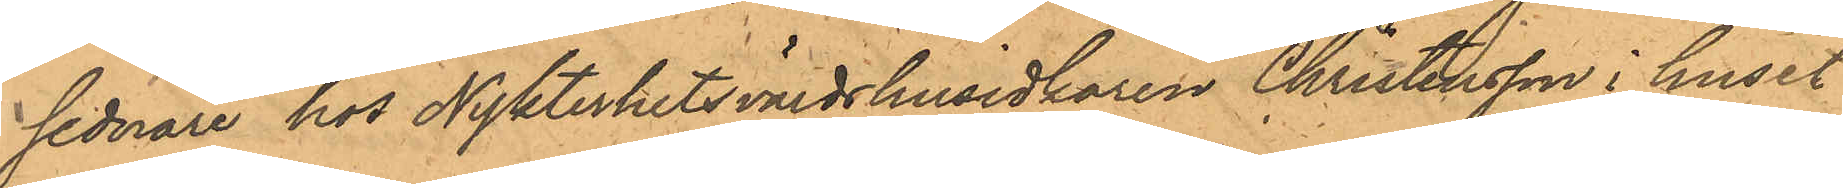sednare hos Nykterhetsvärdshusidkaren Christensson i huset
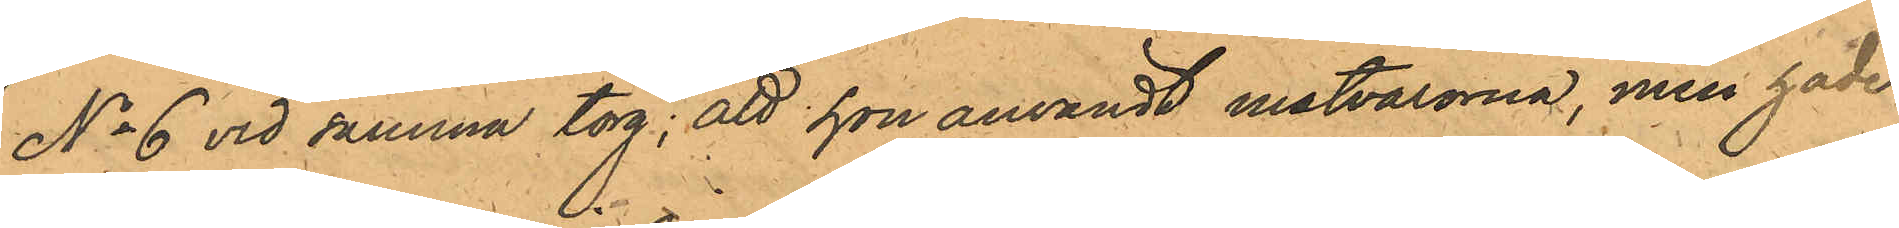No 6 vid samma torg; att hon användt matvarorna, men hade
